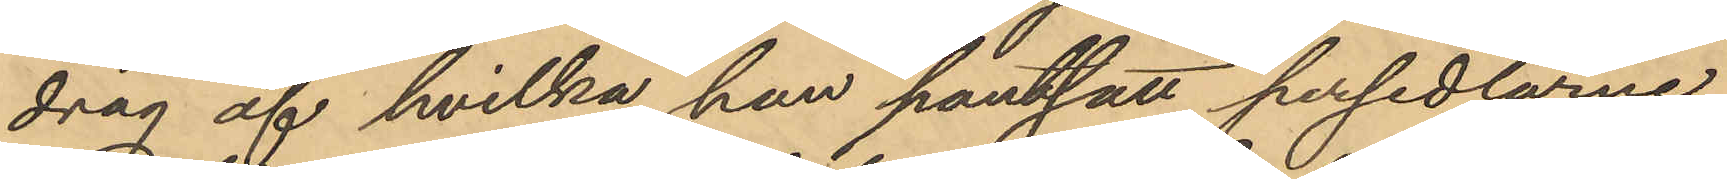drag af hvilka han pantsatt persedlarne.
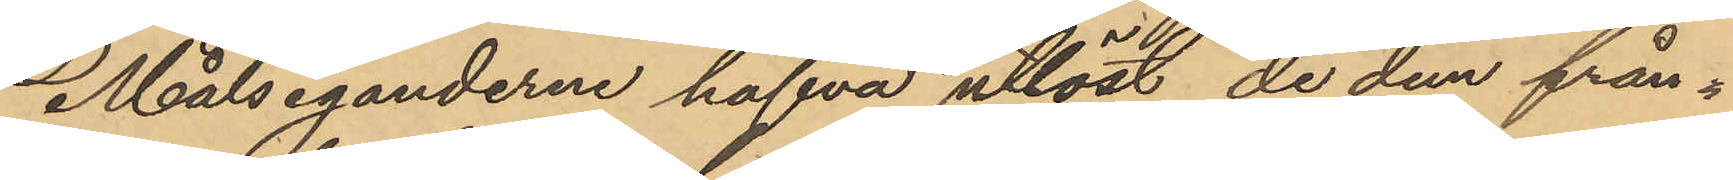Målseganderne hafva utlöst de dem från¬
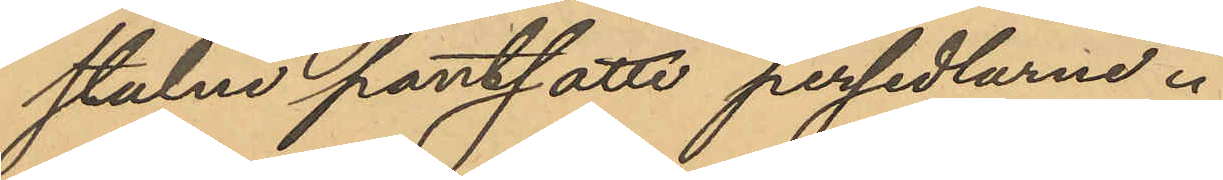stulne pantsatte persedlarne.
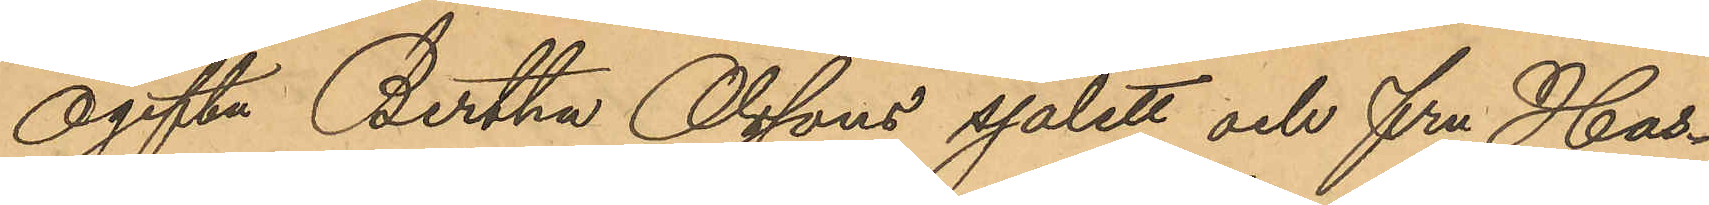Ogifta Bertha Olssons sjalett och fru Has¬
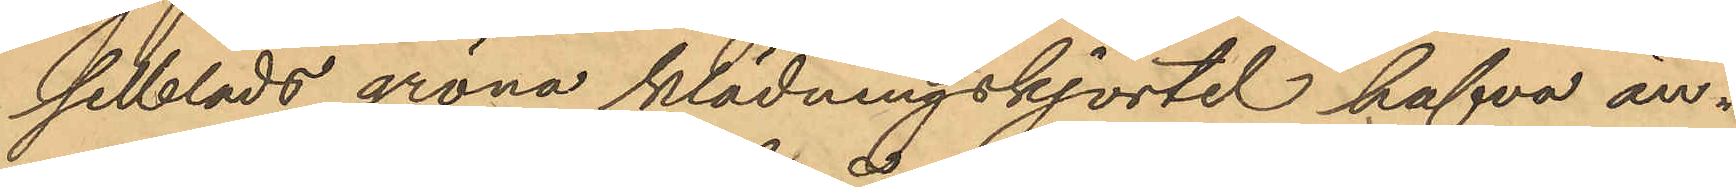selblads gröna klädningskjortel hafva än¬
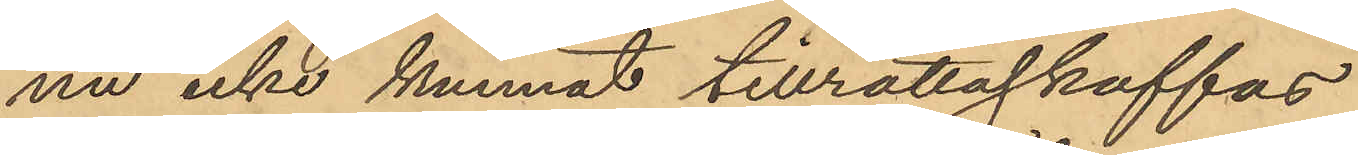nu icke kunnat tillrättaskaffas.
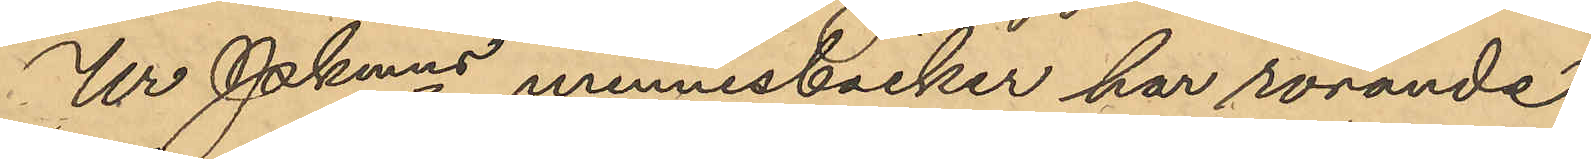Ur Pkmns minnesböcker har rörande
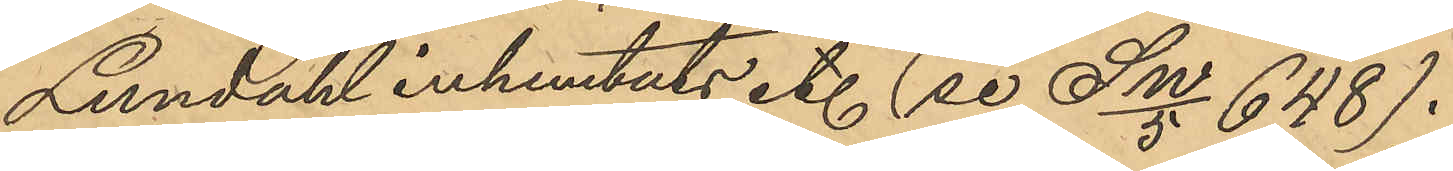Lundahl inhemtats etc (se SW/5 648).
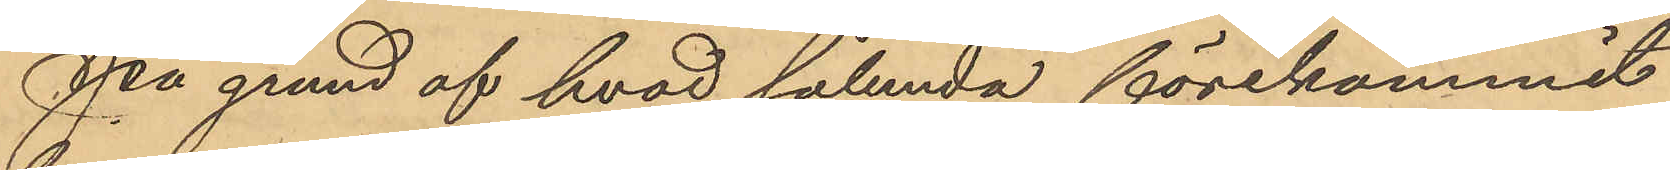På grund af hvad sålunda förekommit
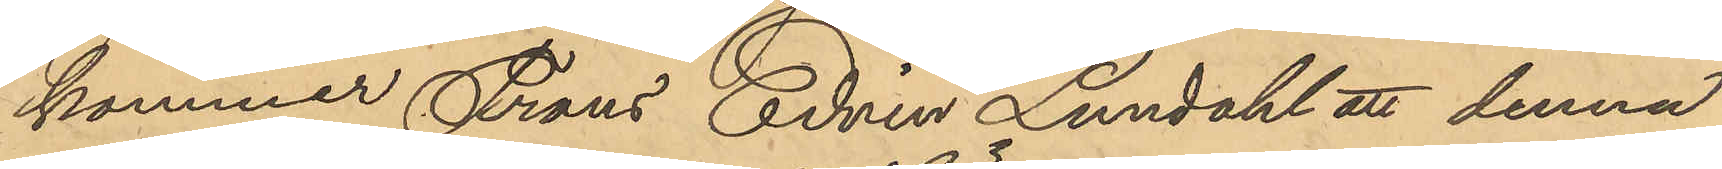kommer Frans Edvin Lundahl att denna
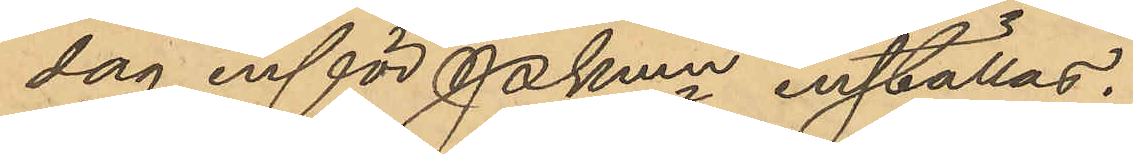dag inför Pkmn inställas.
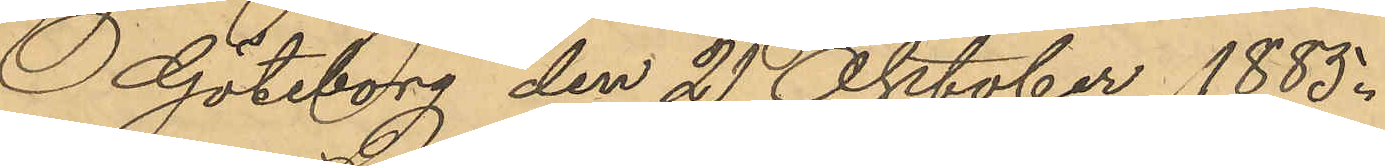Göteborg den 21 Oktober 1885.
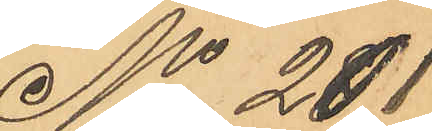No 281
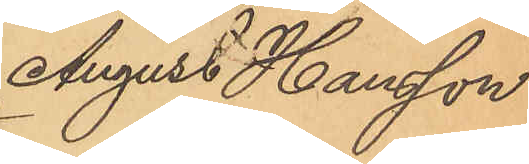August Hansson
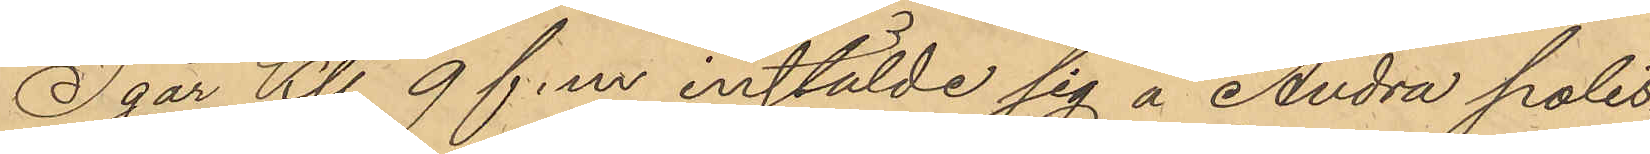Igår Kl. 9 f.m. instälde sig å Andra polis¬
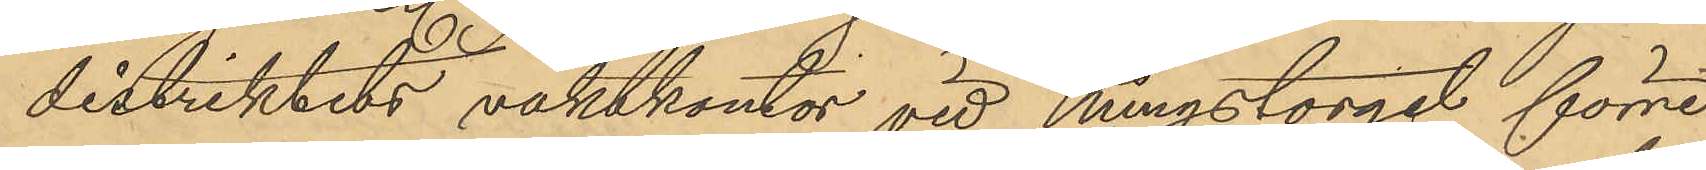distriktets vaktkontor vid Kungstorget förre
